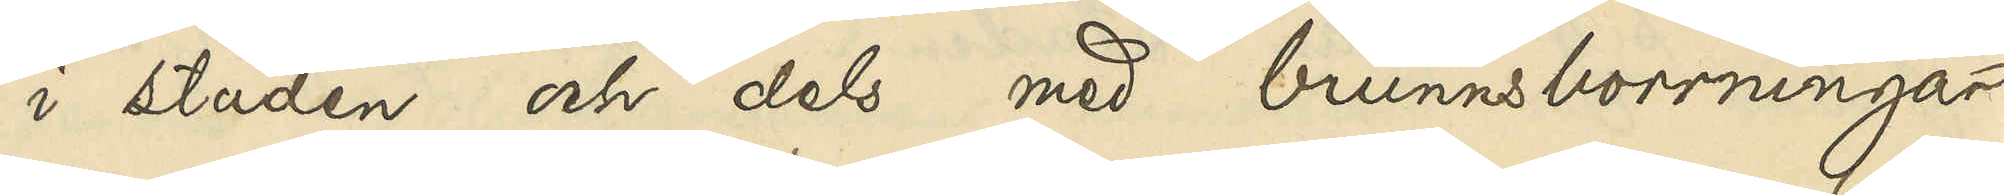i staden och dels med brunnsborrningar
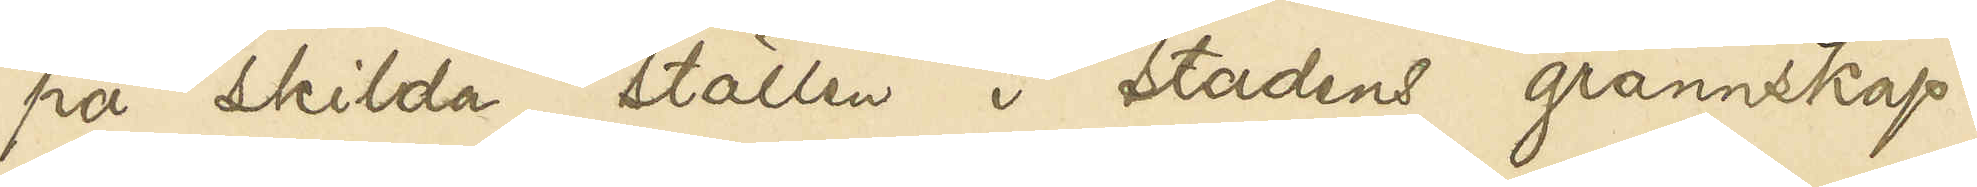på skilda ställen i stadens grannskap.
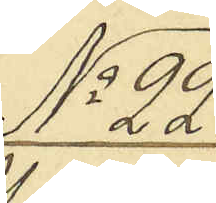No 22.
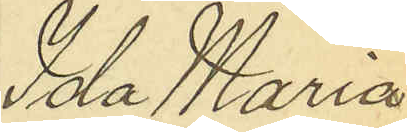Ida Maria
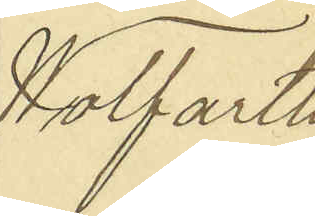Wolfarth
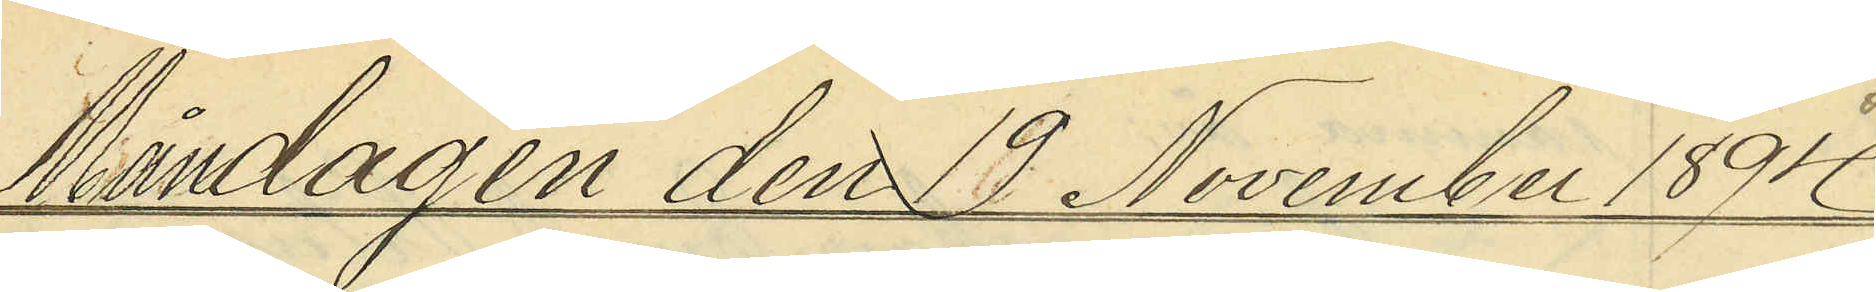Måndagen den 19 November 1894
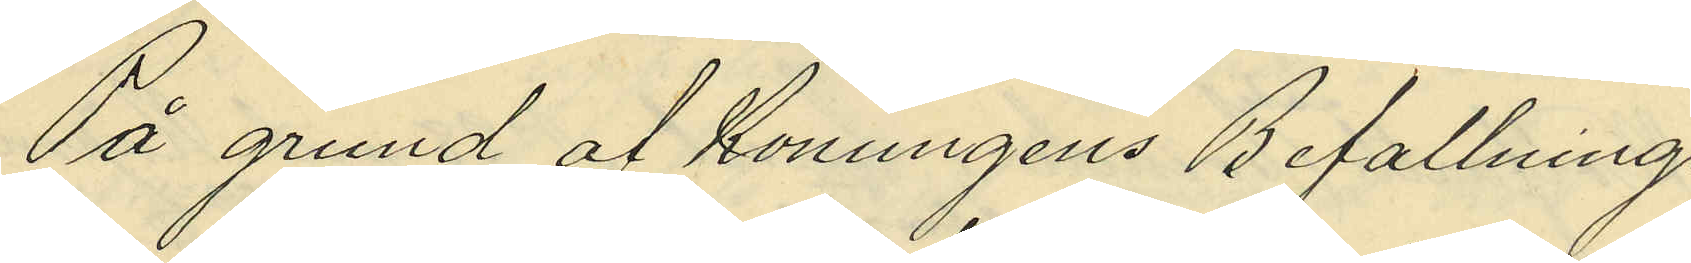På grund af Konungens Befallnings¬
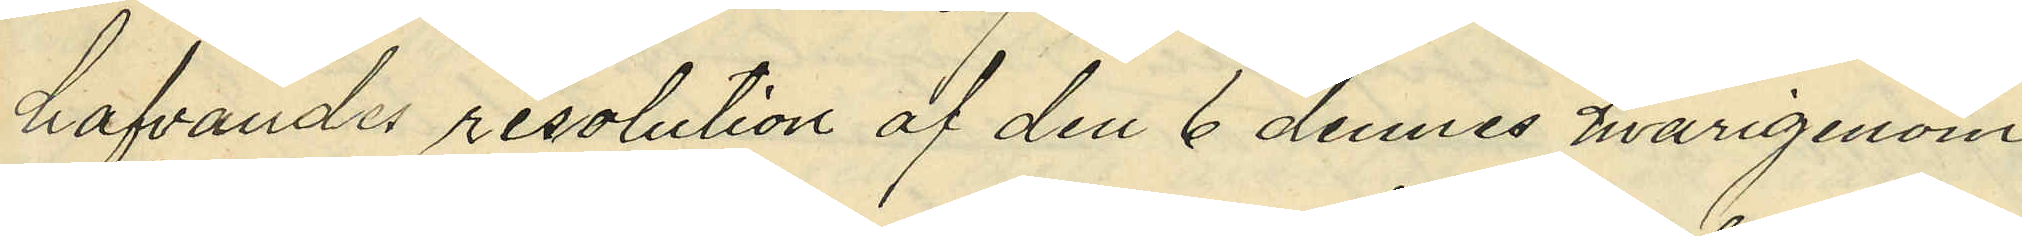hafvandes resolution af den 6 dennes hvarigenom
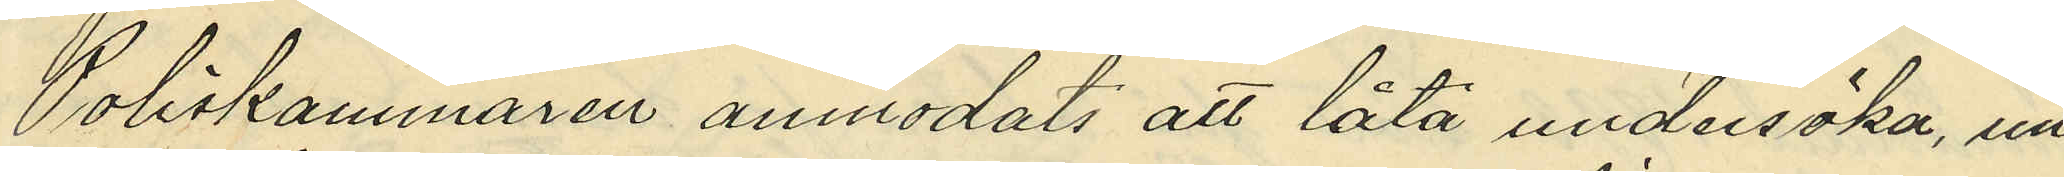Poliskammaren anmodats att låta undersöka, un¬
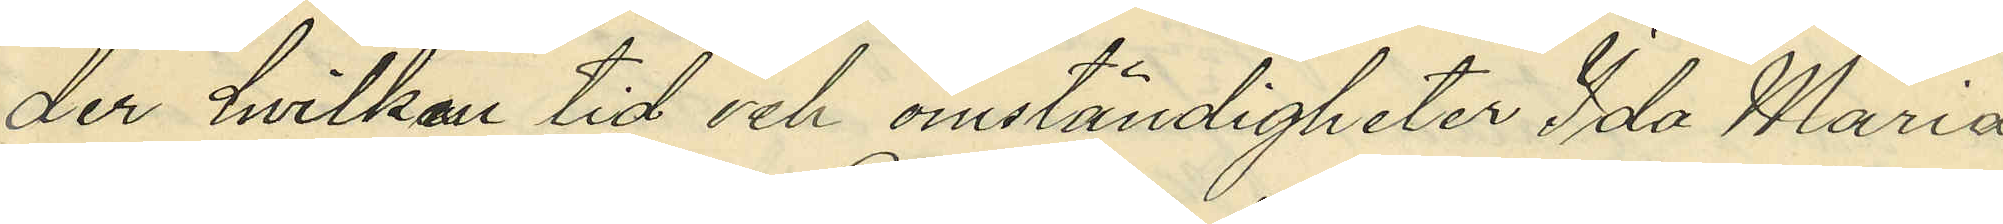der hvilken tid och omständigheter Ida Maria
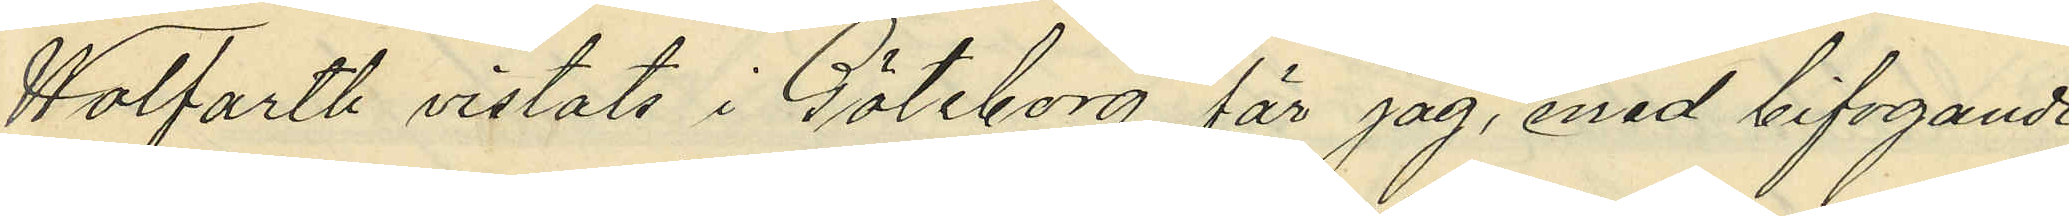Wolfarth vistats i Göteborg, får jag, med bifogande
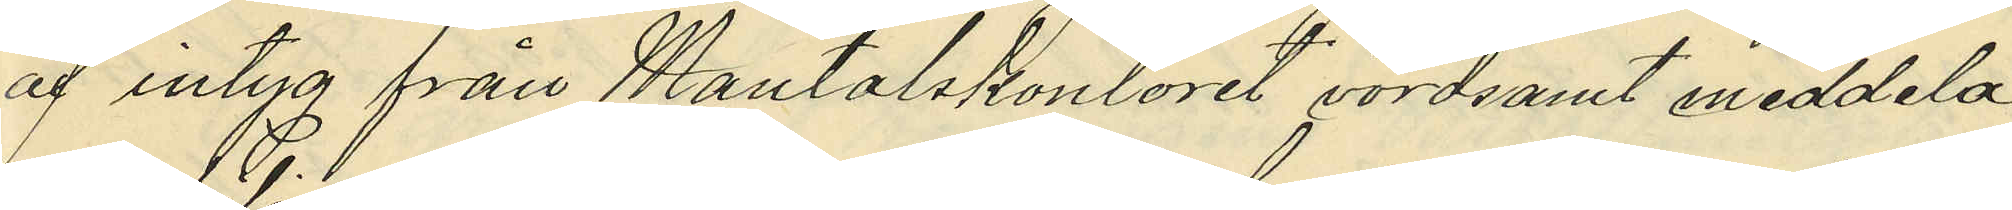af intyg från mantalskontoret vördsamt meddela,
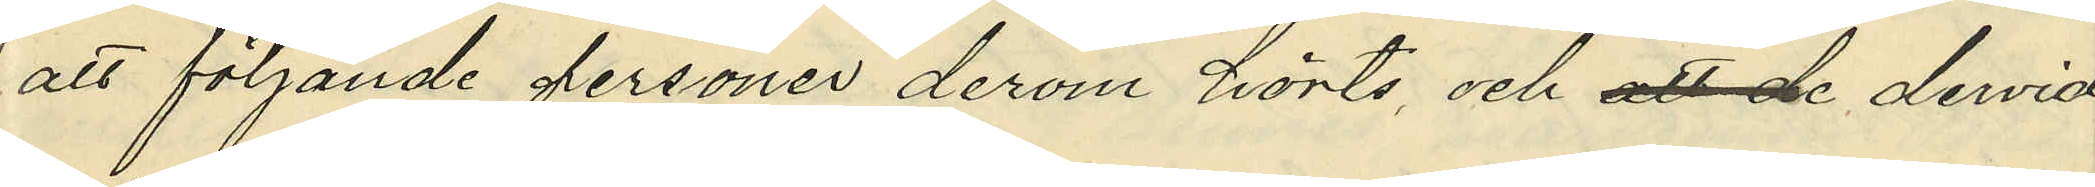att följande personer derom hörts och att de dervid
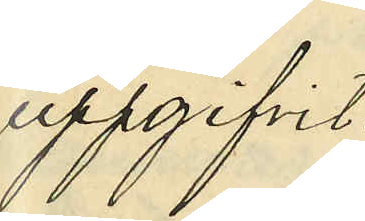uppgifvit:
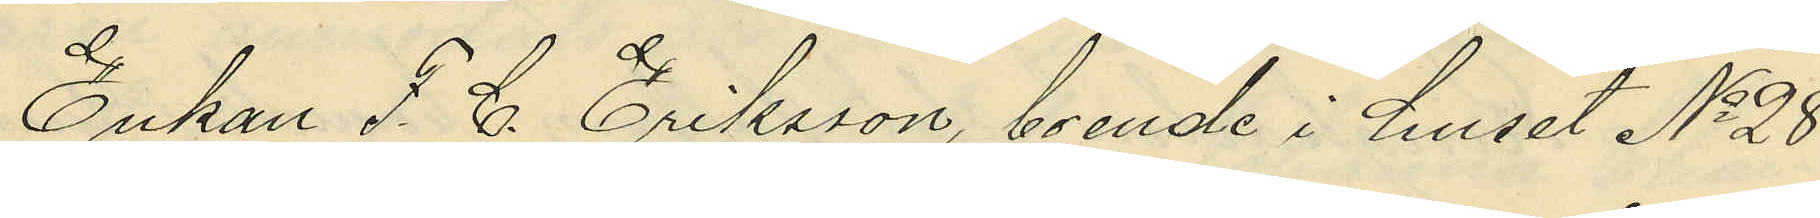Enkan F. C. Eriksson, boende i huset No 28
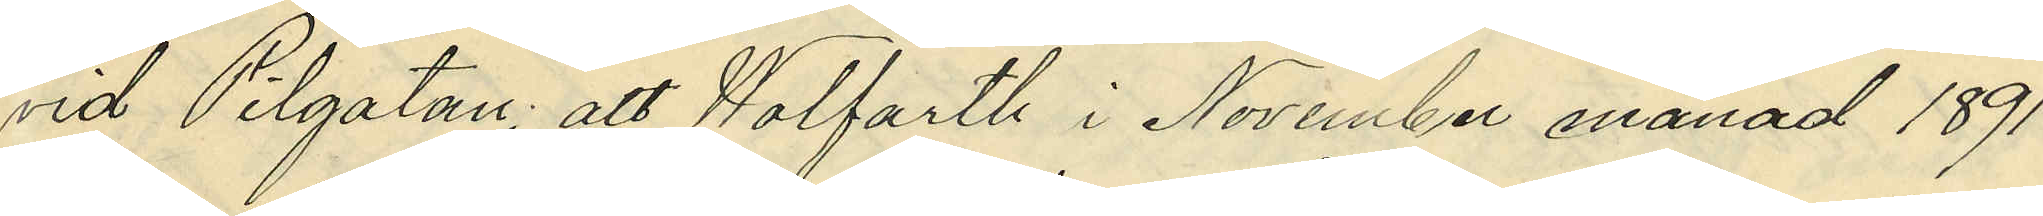vid Pilgatan: att Wolfarth i November månad 1891
